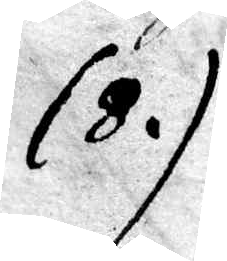(8)
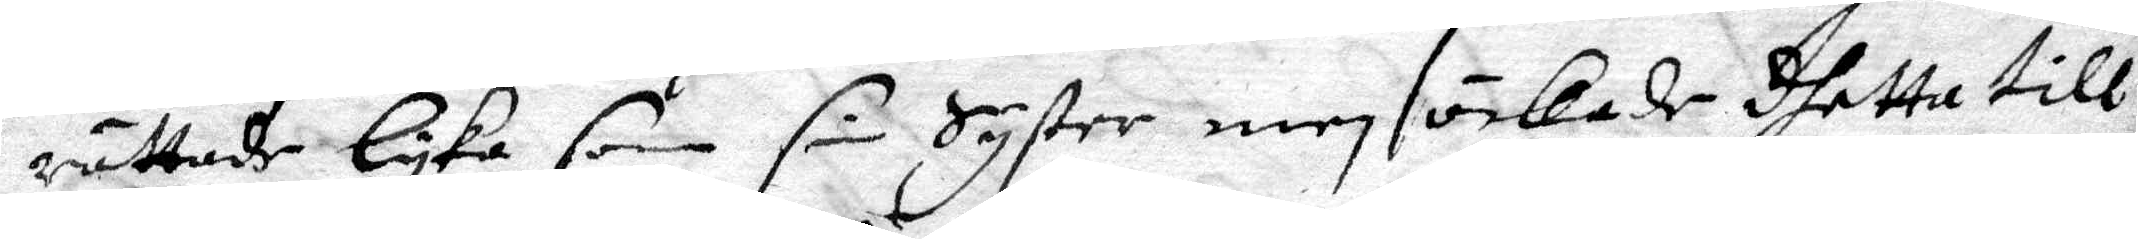rättade lyka som sin Syster men öckade dhetta till
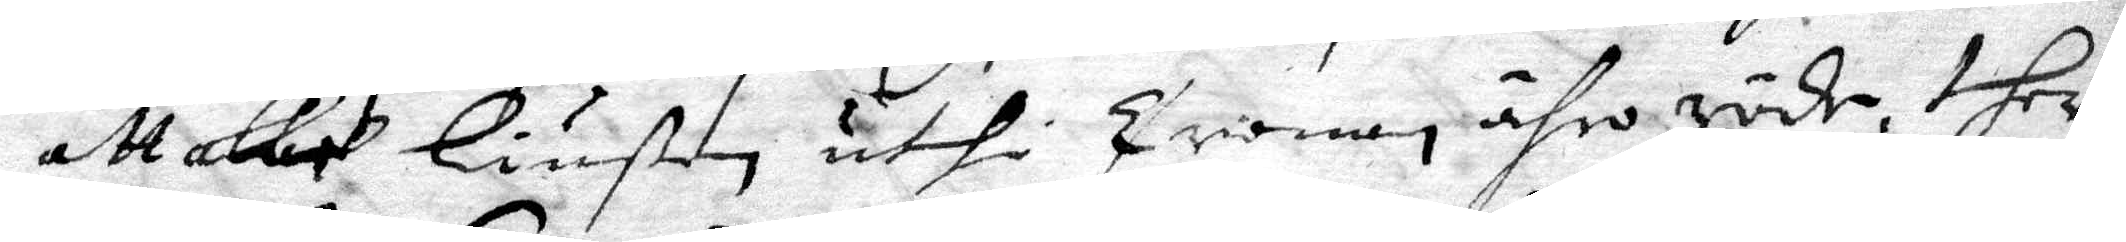att alle Liußen uthi Cronan ähro röde, ther
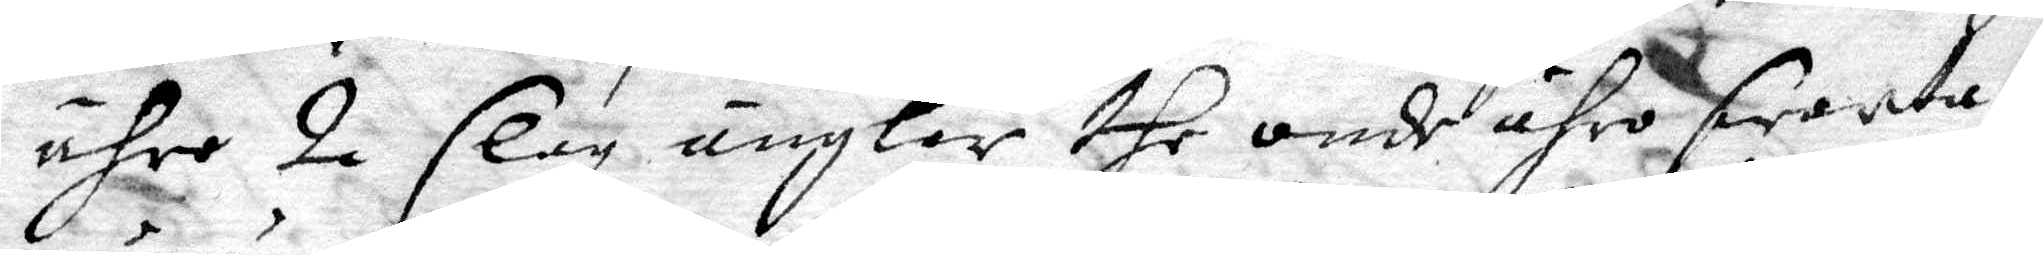ähro 2 slagz änglar the onde ähro swarta,
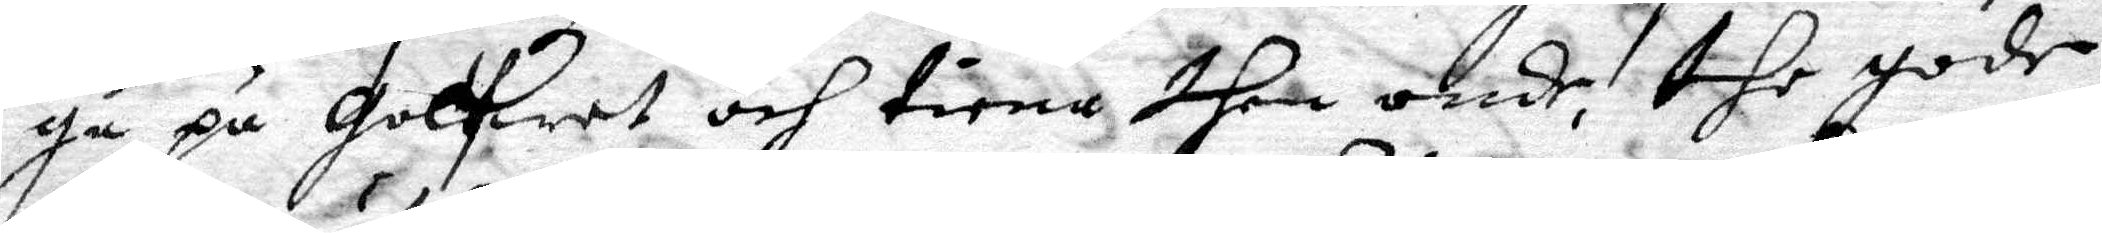gå på Golfwet och tiena then onde, the gode
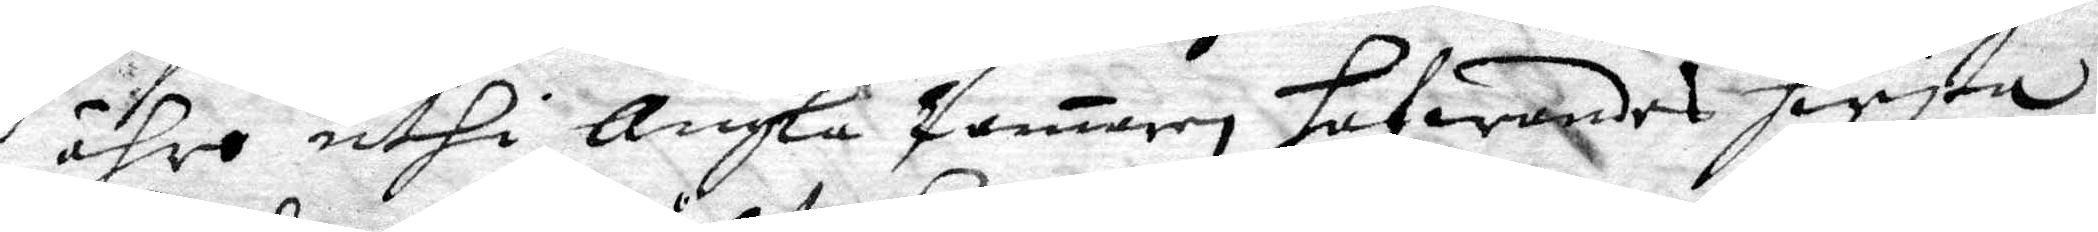ähro uthi Ängla Camaren, hafwandes hwjta
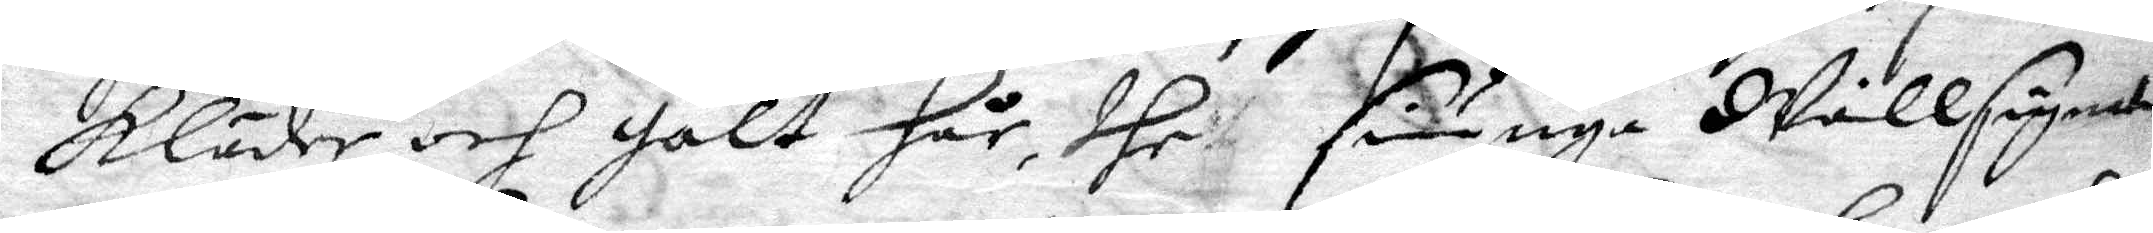kläder och gult hår, dhe siänga Wällsignad
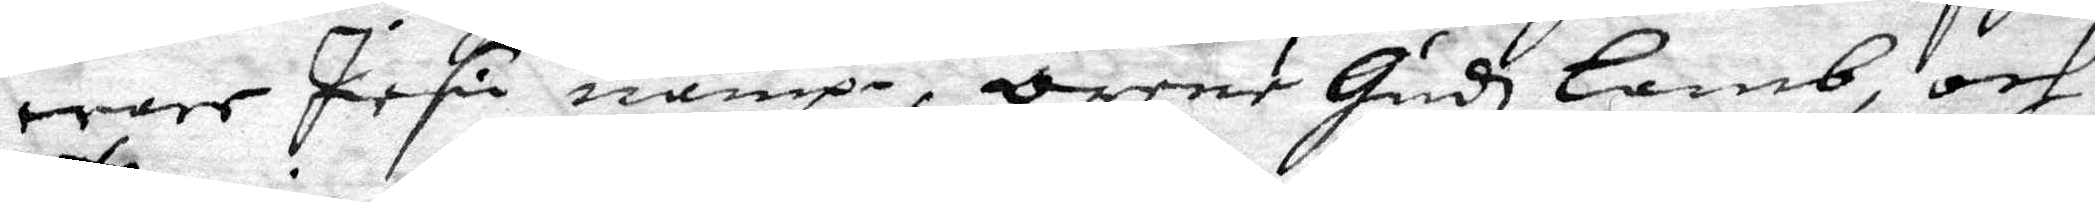ware Jesu nampn, orene Gudz lamb, och
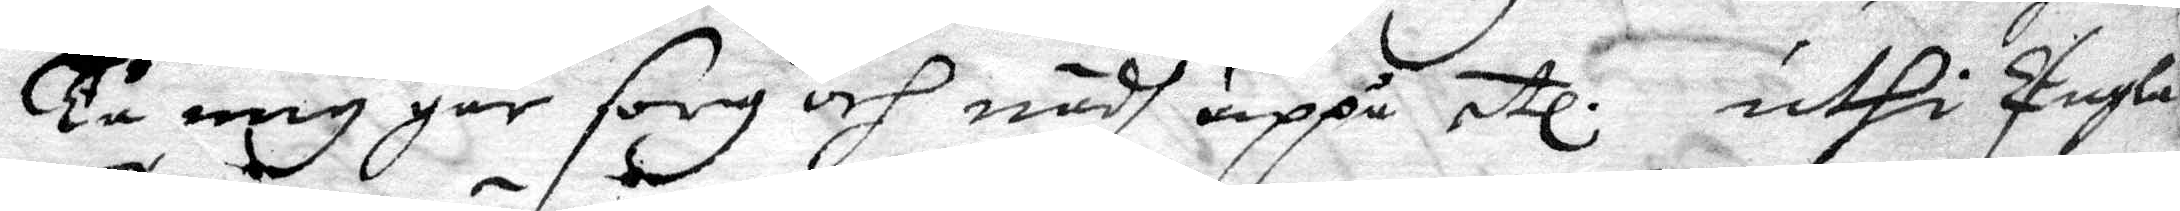Tu mig går sorg och nödh uppå etc uthi Engla 
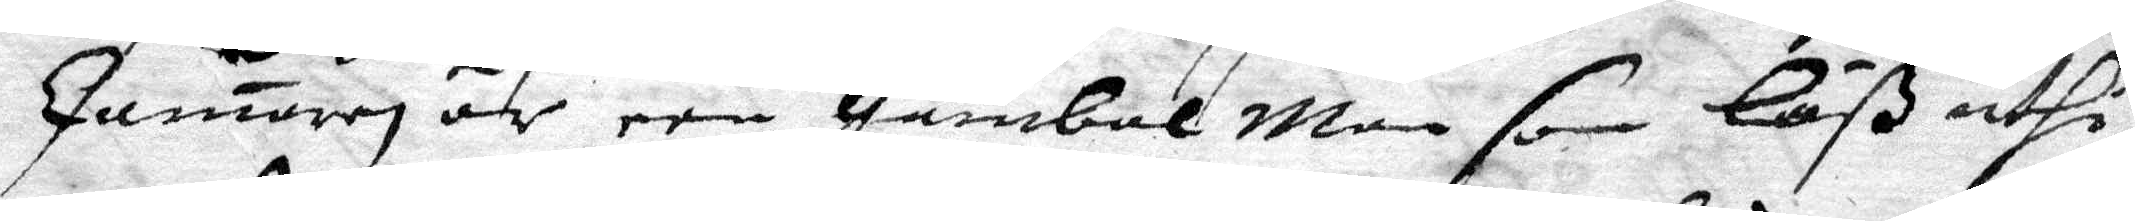Camaren är een gambal man som Läß uthi
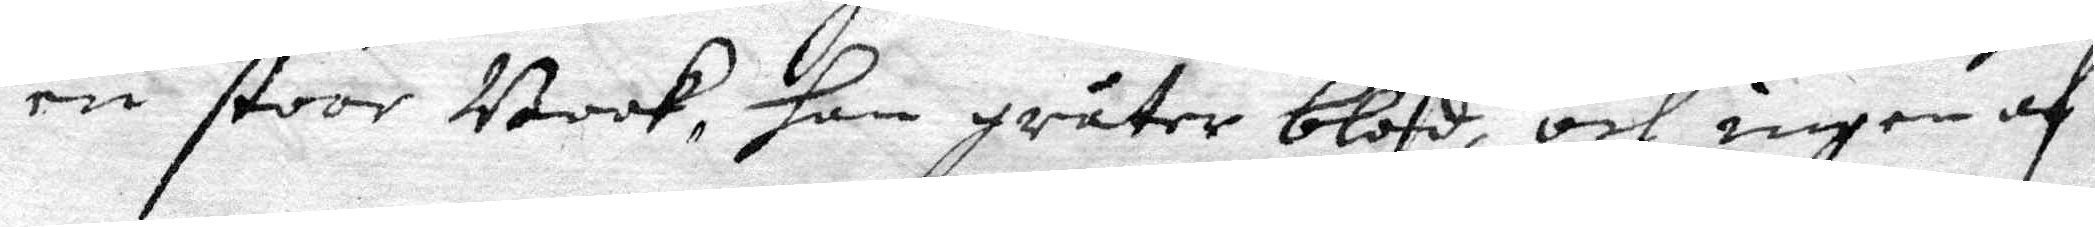en stoor Book, han gråter blod, och ingen af
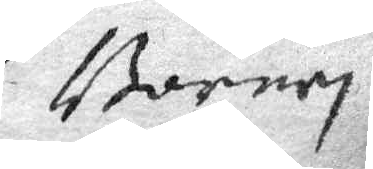Barnen
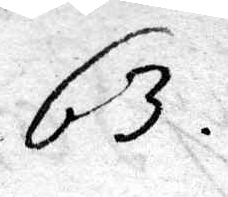63.
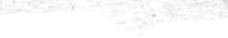63.
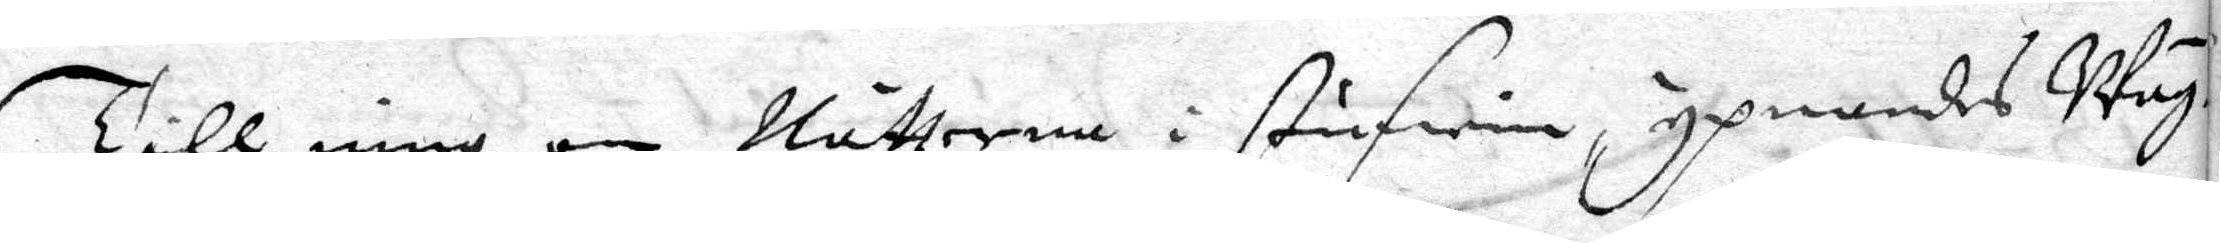Till mig om Nätterna i stufwin, ypnandes Wäg¬
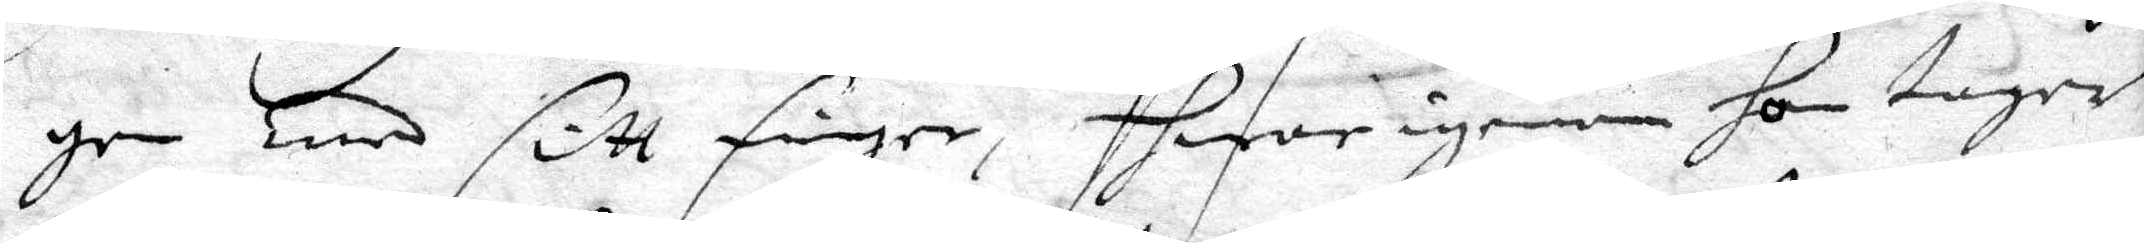gen med sitt figer, hwarigenom hon tager
